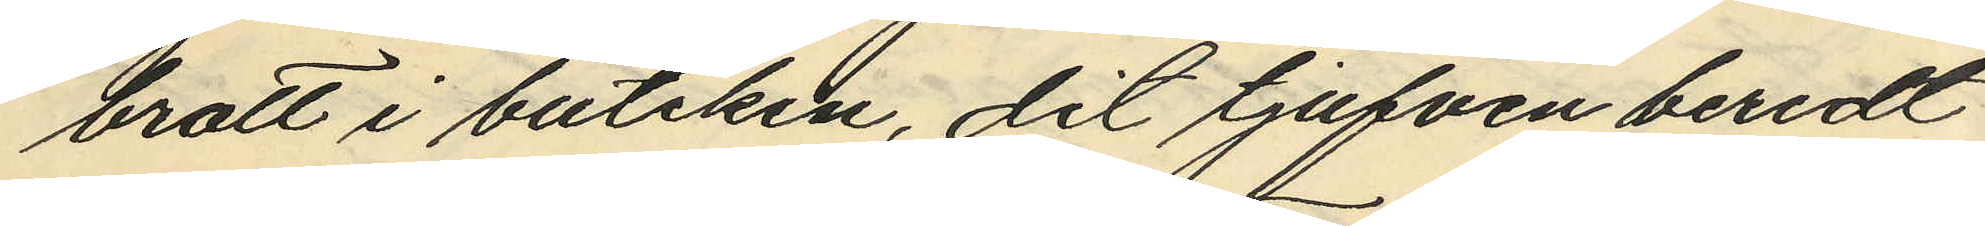brott i butiken, dit tjufven beredt
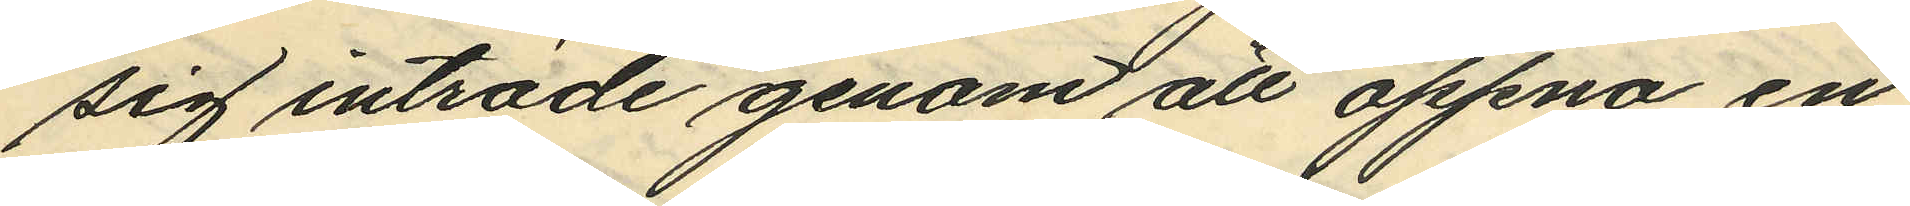sig inträde genom att öppna en
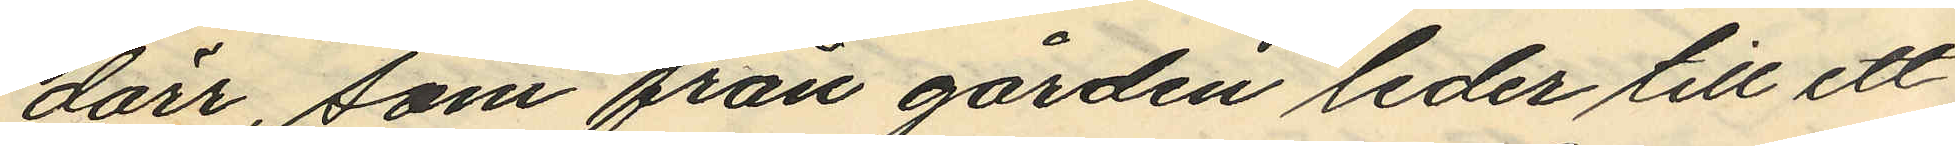dörr, som från gården leder till ett
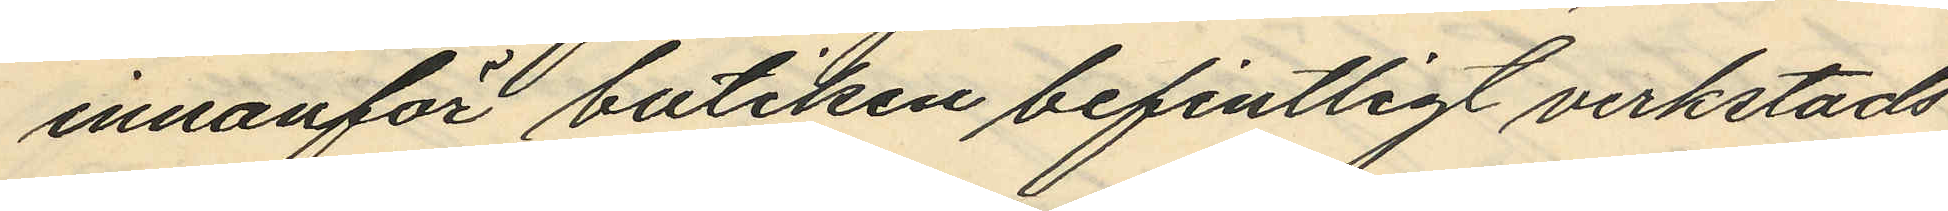innanför butiken befintligt verkstads
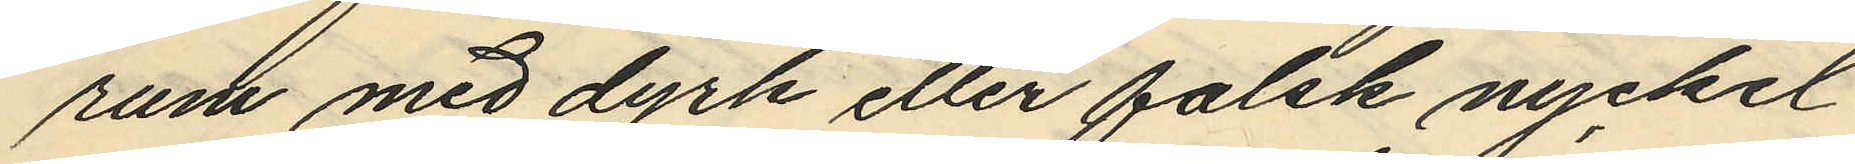rum med dyrk eller falsk nyckel
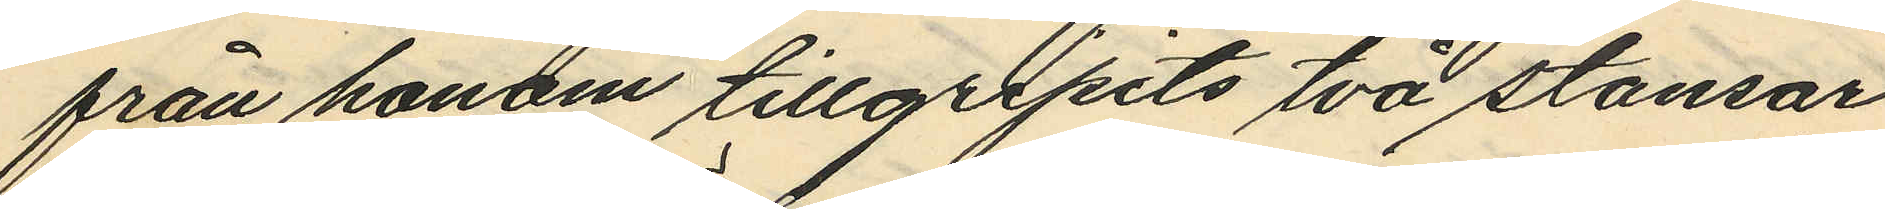från honom tillgripits två stansar
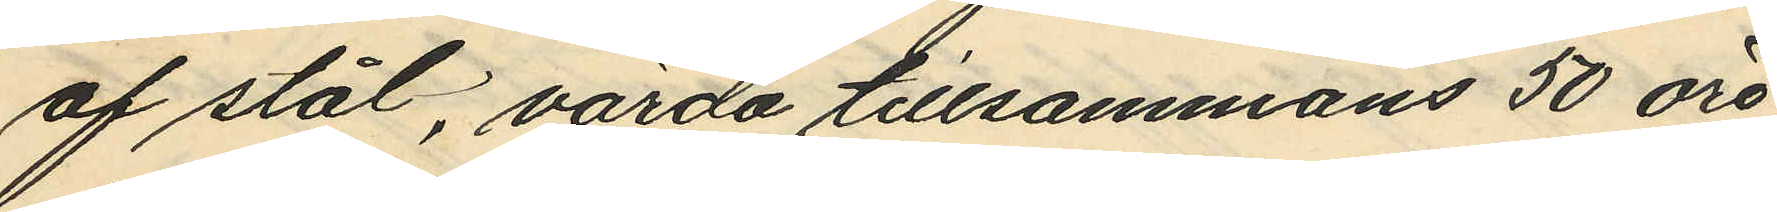af stål, värda tillsammans 50 öre
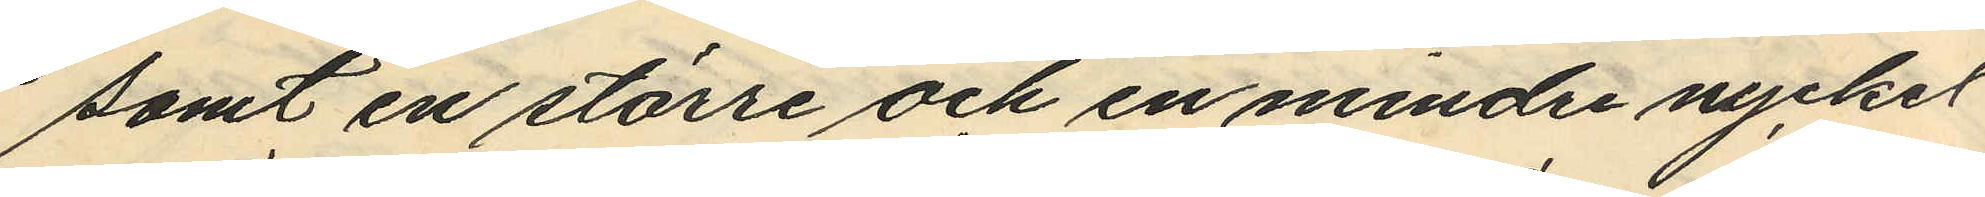samt en större och en mindre nyckel
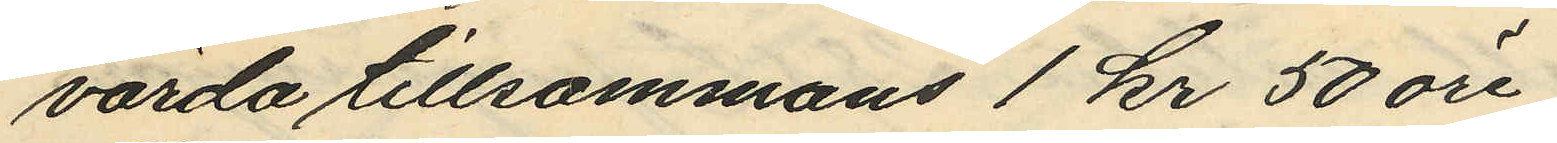värda tillsammans 1 kr 50 öre.
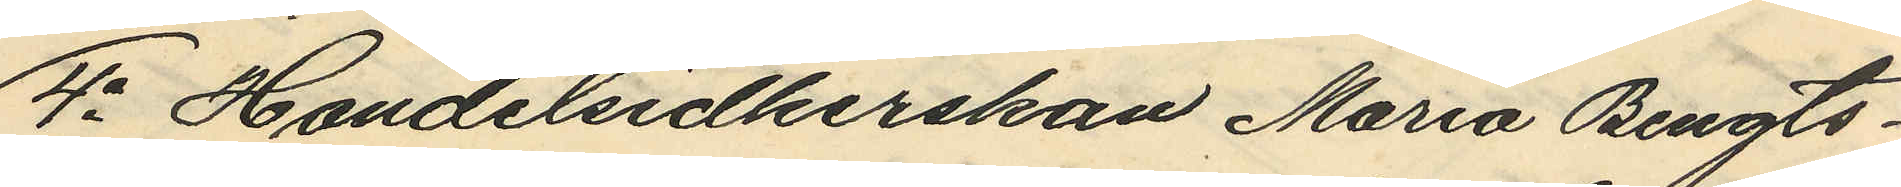4o Handelsidkerskan Maria Bengts¬
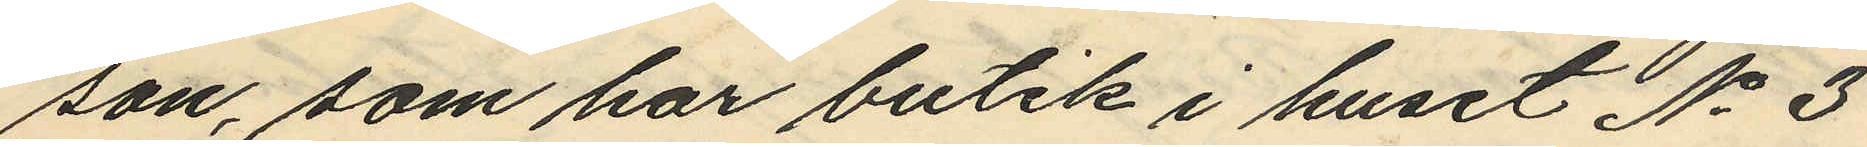son, som har butik i huset No 3
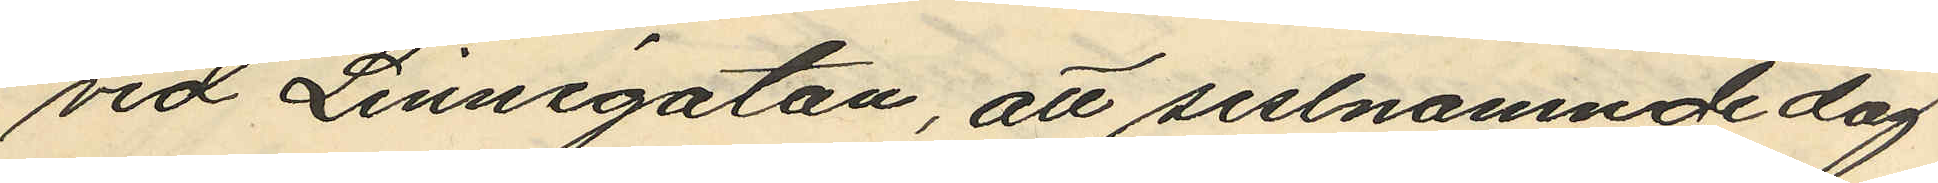vid Linnégatan, att sistnamnde dag
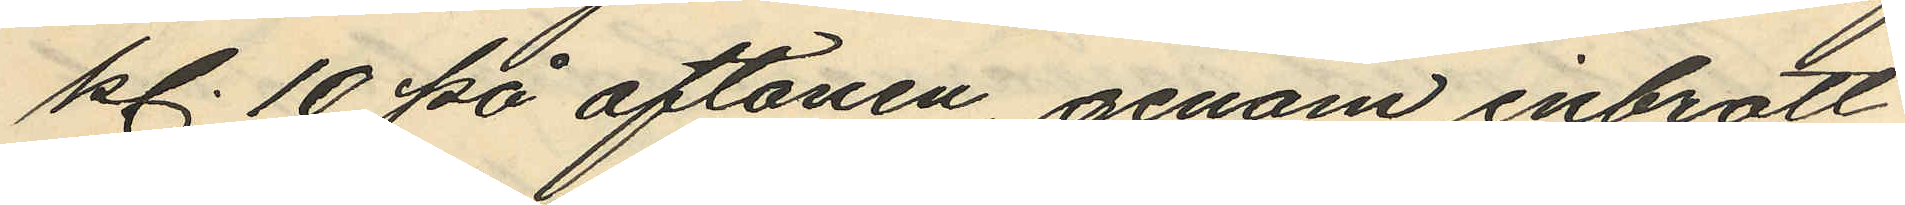kl. 10 på aftonen, genom inbrott
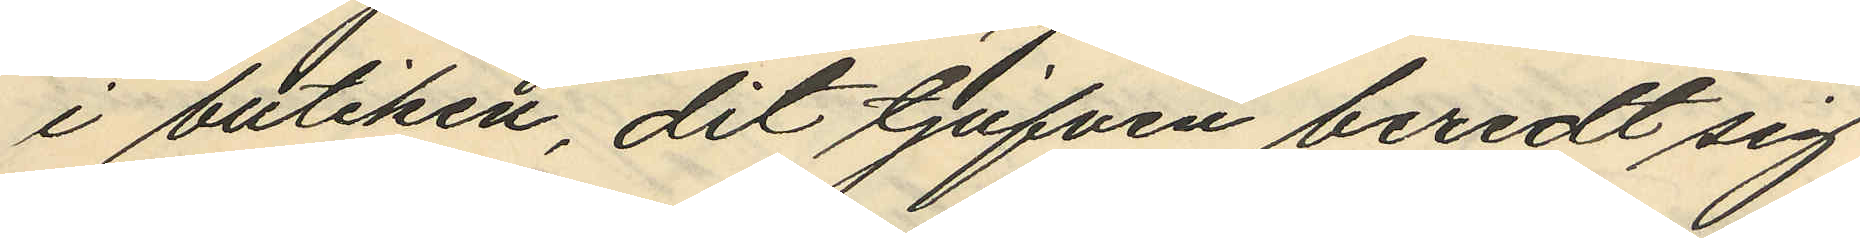i butiken, dit tjufven beredt sig
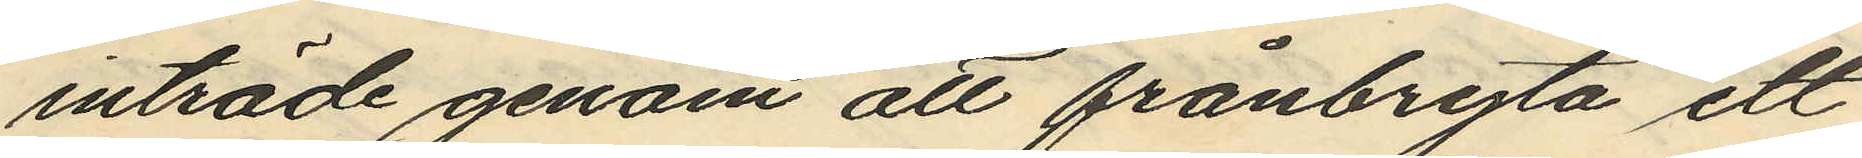inträde genom att frånbryta ett
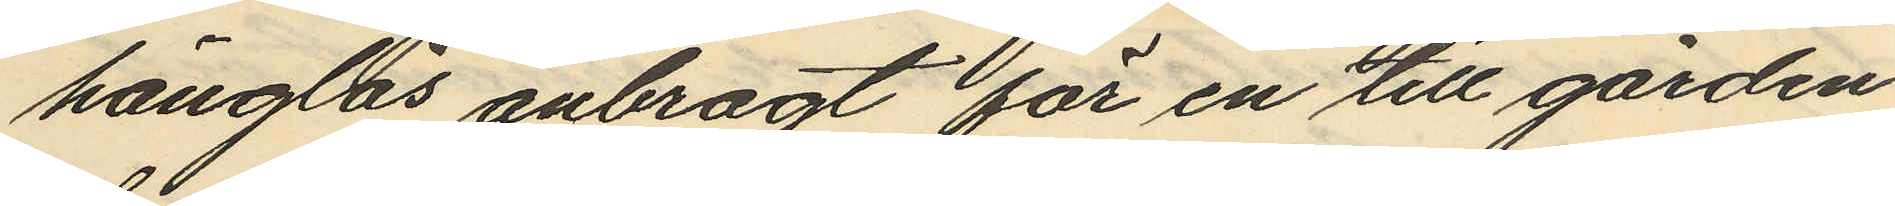hänglås anbragt för en till gården
